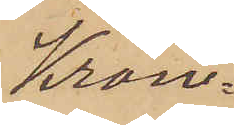Kron¬
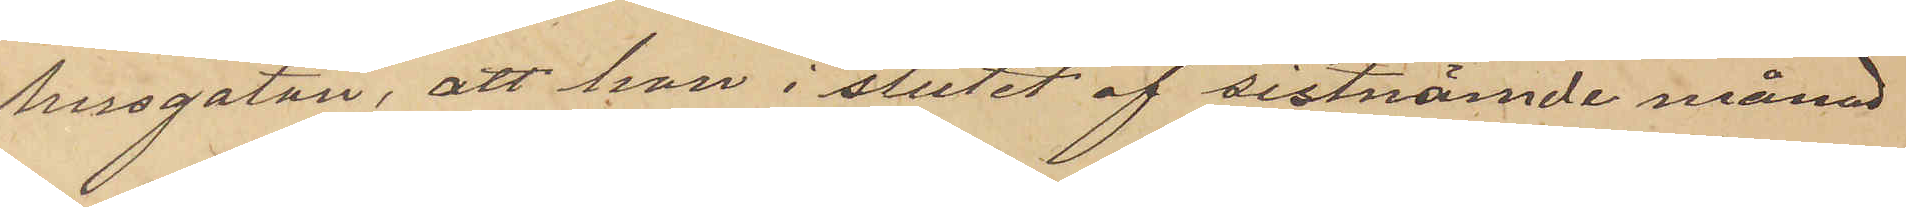husgatan, att hon i slutet af sistnämde månad
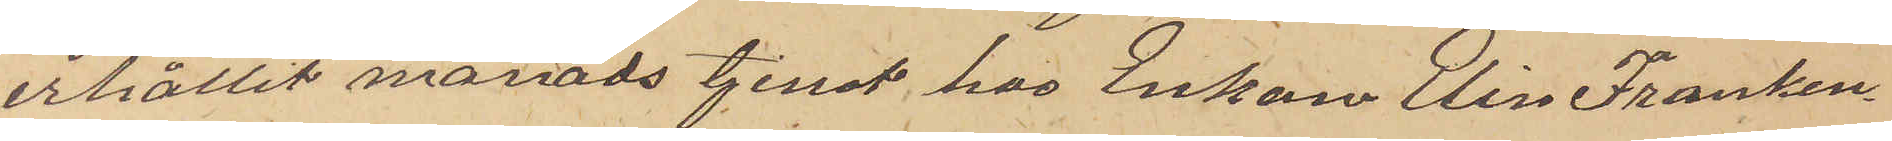erhållit månadstjenst hos Enkan Elin Franken¬
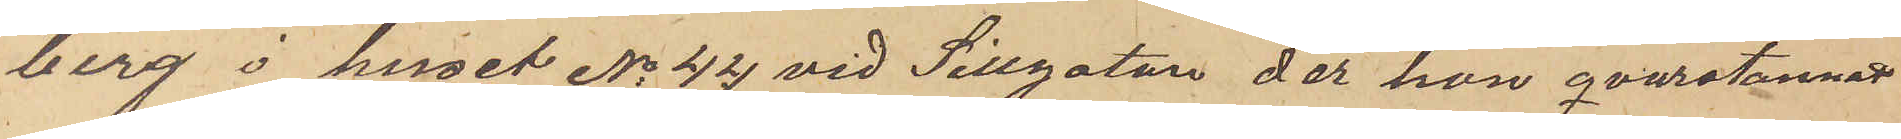berg i huset No 44 vid Sillgatan, der hon qvarstannat
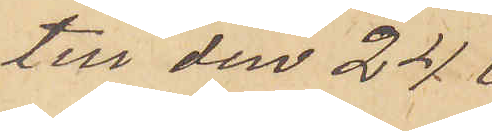till den 24
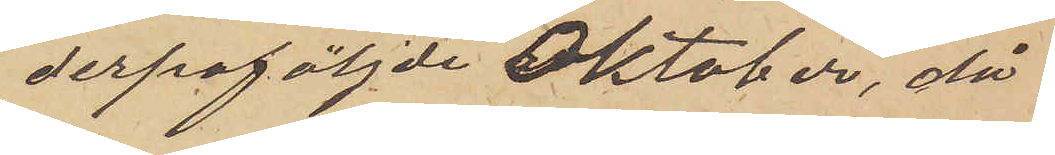derpåföljde Oktober, då
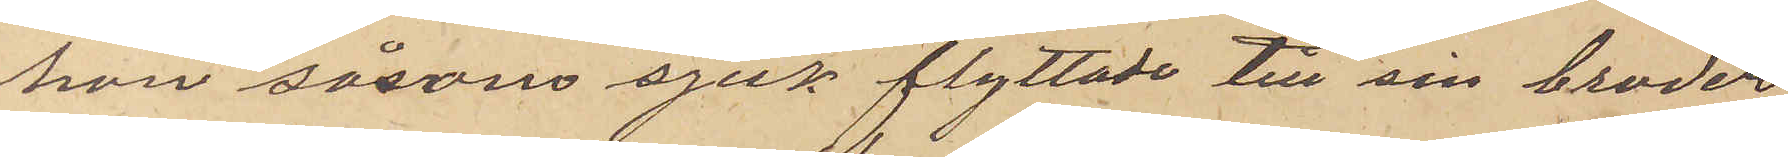hon såsom sjuk flyttade till sin broder
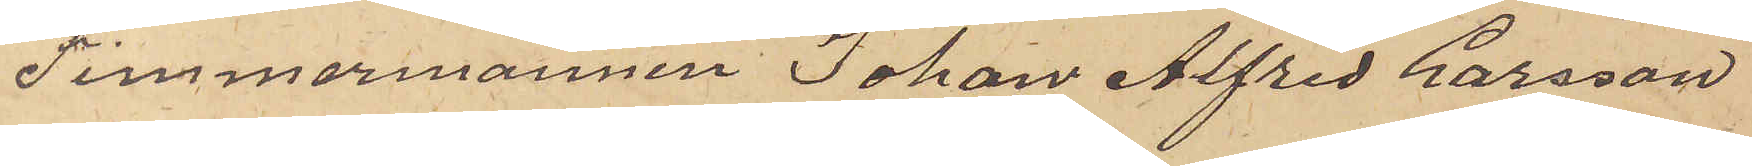Timmermannen Johan Alfred Larsson
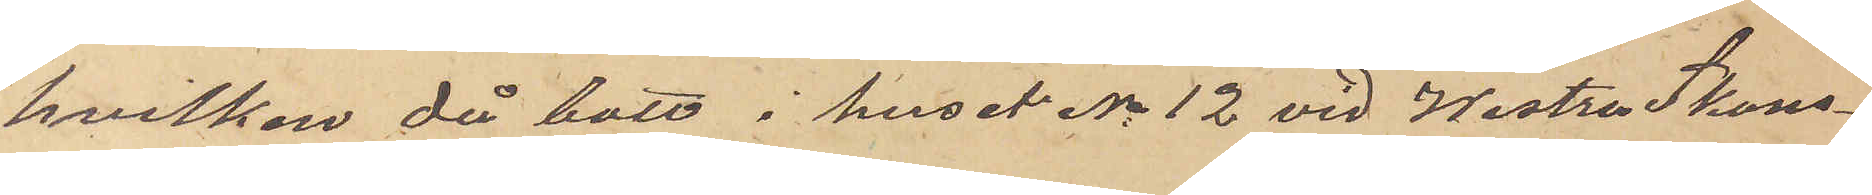hvilken då bott i huset No 12 vid Westra Skans¬
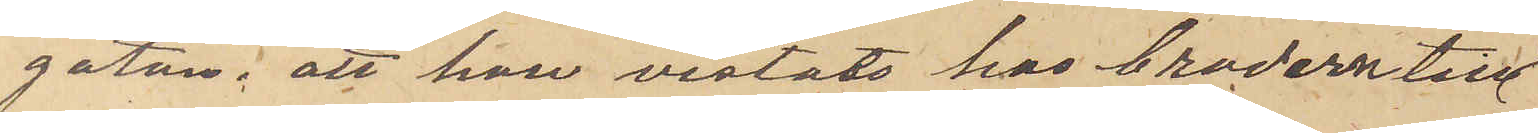gatan; att hon vistats hos brodern till
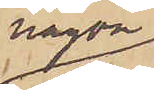någon
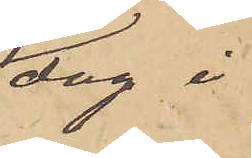dag i
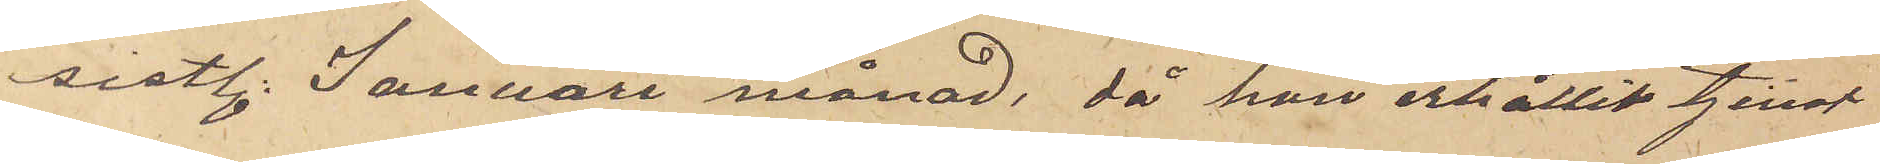sistl. Januari månad, då hon erhållit tjenst
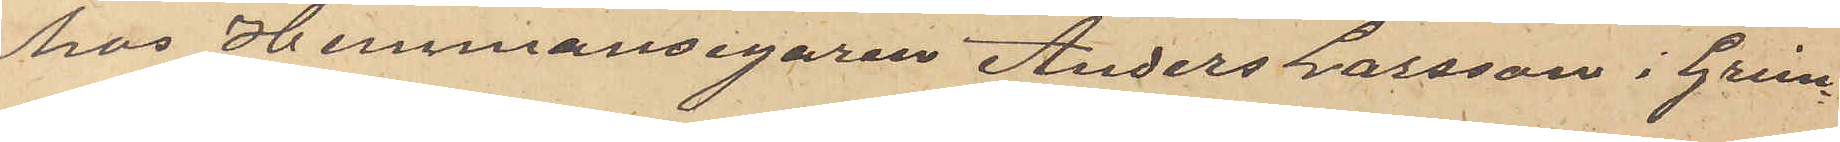hos Hemmansegaren Anders Larsson i Grim¬
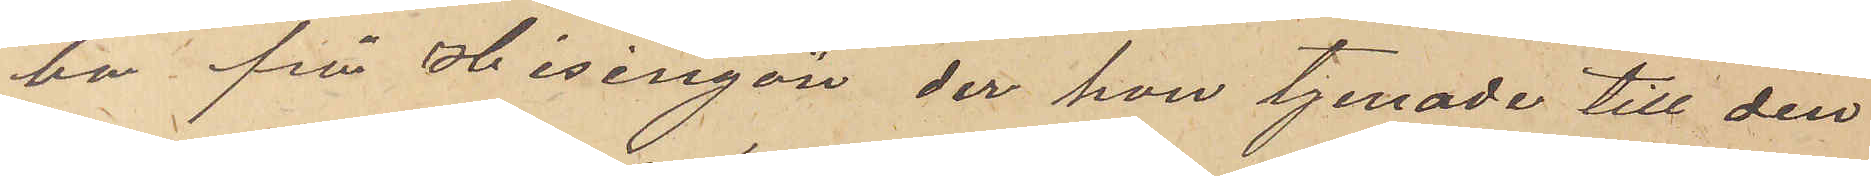bo från Hisingön, der hon tjenade till den
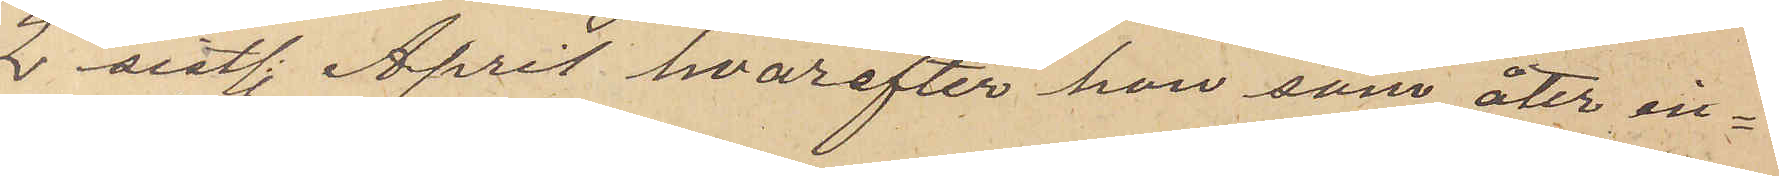2 sistl. April hvarefter hon som åter in¬
